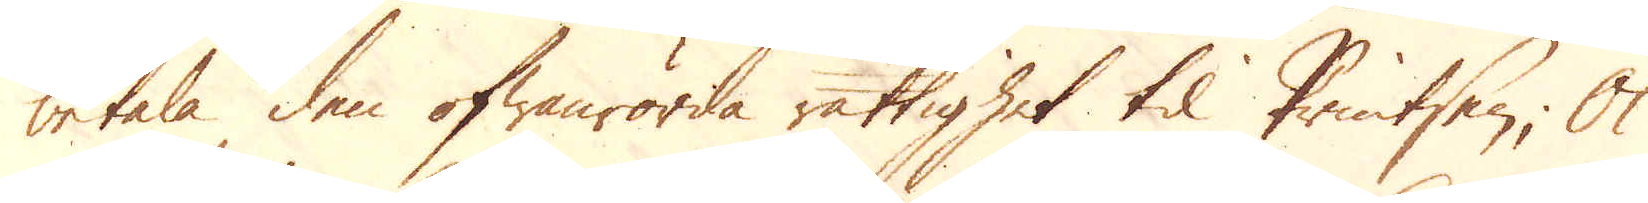betala den ofwanrörda rättighet til Printsen; Ok
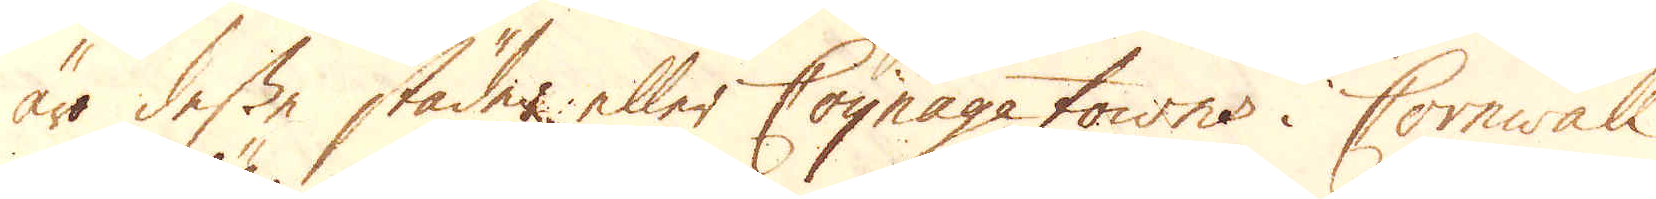äro desse städer eller Coynage towns i Cornwall,
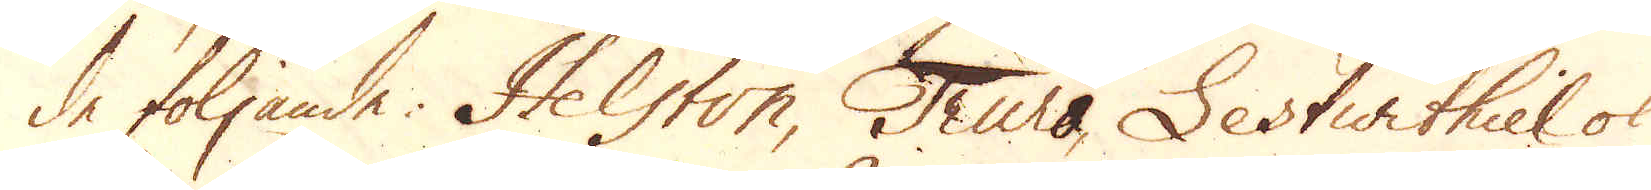de följande. Helston, Truro, Lestwithiel ok
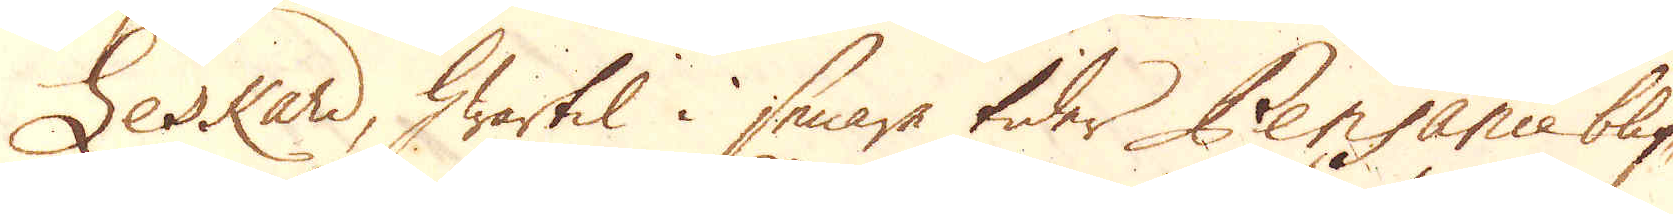Leskard, hwartil i senare tider Pensance blif-
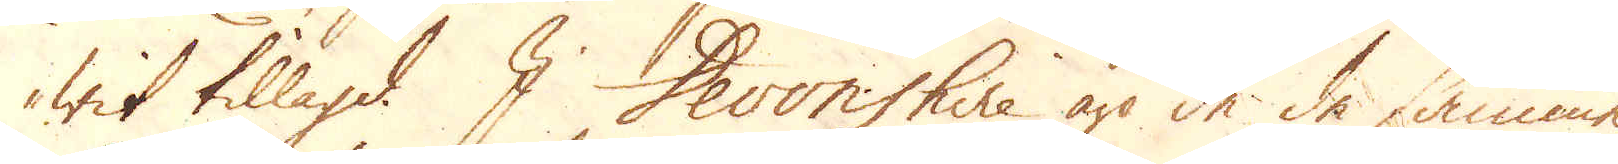wit tillagd. I Devonshire äro de de samma
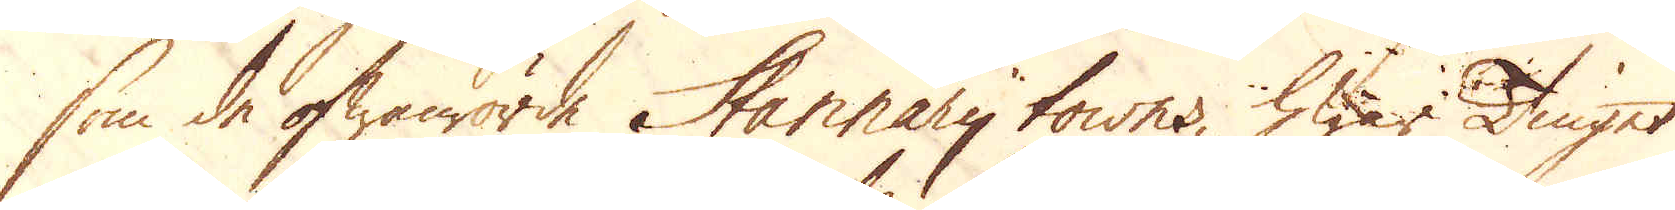som de ofwanrörde Hannary towns, hwar Tinget
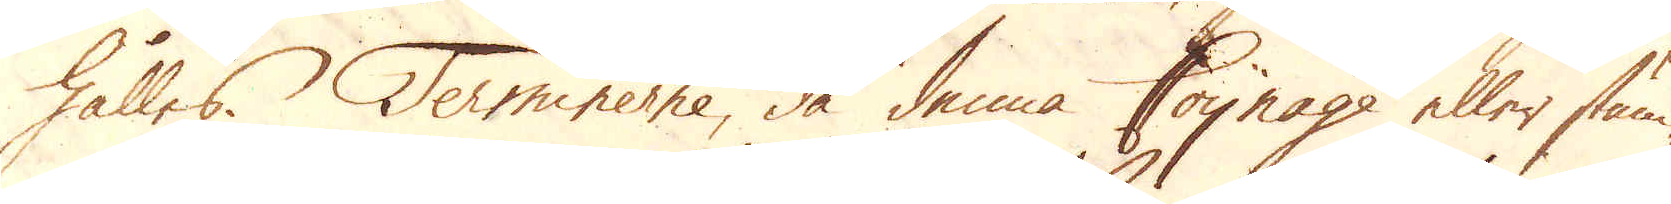hålles. Terminerne, då denna Coynage eller stäm-
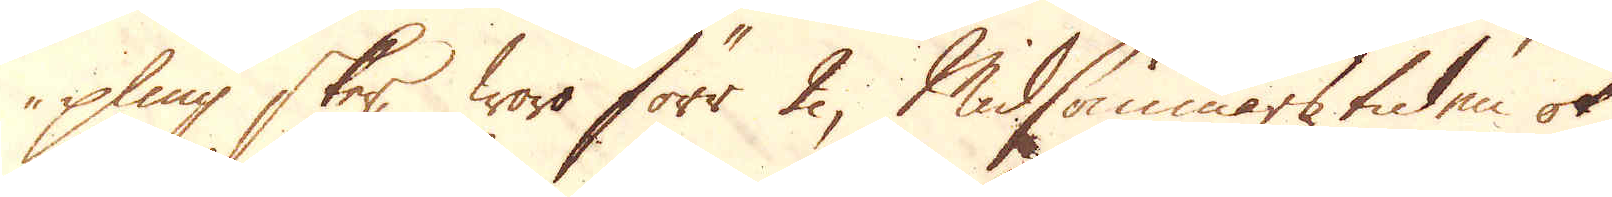pling sker, woro förr 2, Midsommars tiden ok
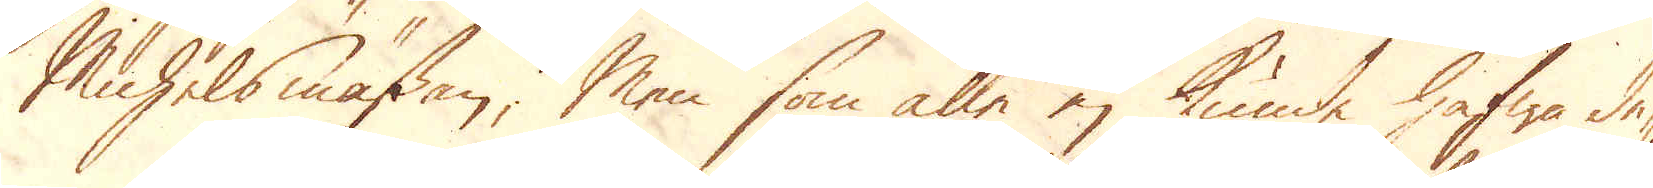Michelsmässen; Men som alle ej kunde hafwa de-
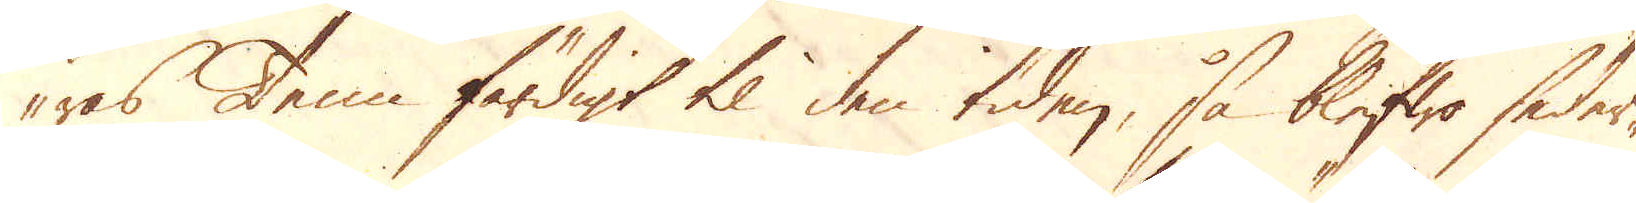ras Tenn färdigt til den tiden, så blefwo seder-
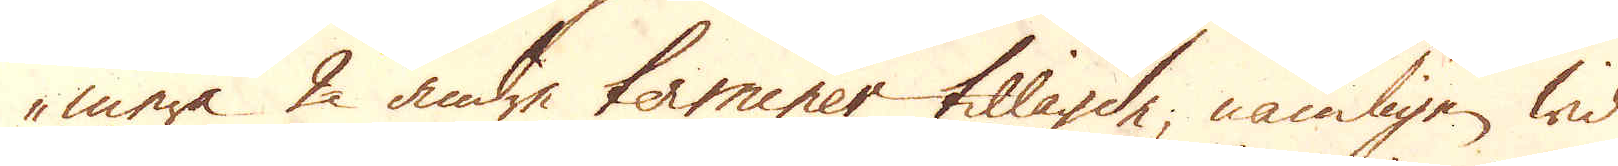mera 2 andre terminer tillagde nämligen wid
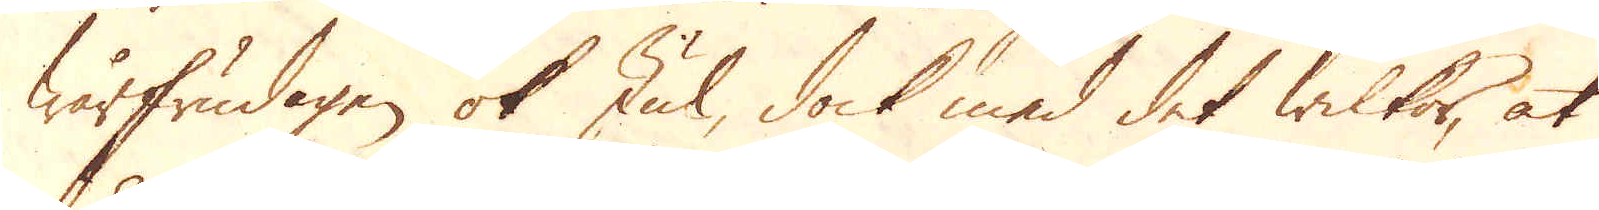wårfrudagen ok Jul, dock med det wilkor, at
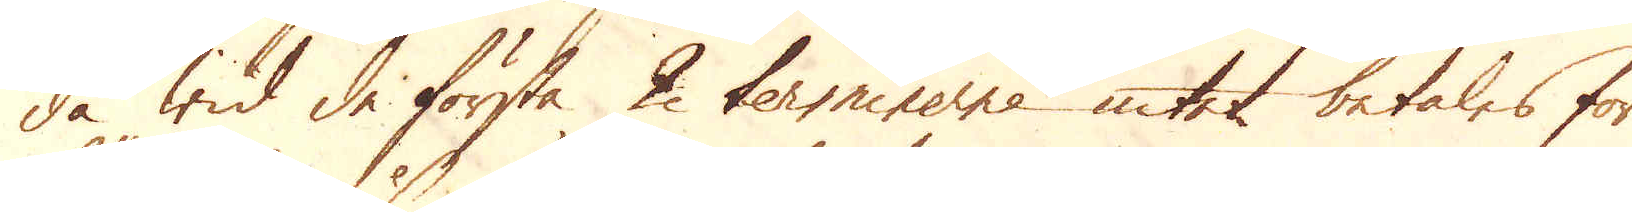då wid de första 2 terminerne intet betales för
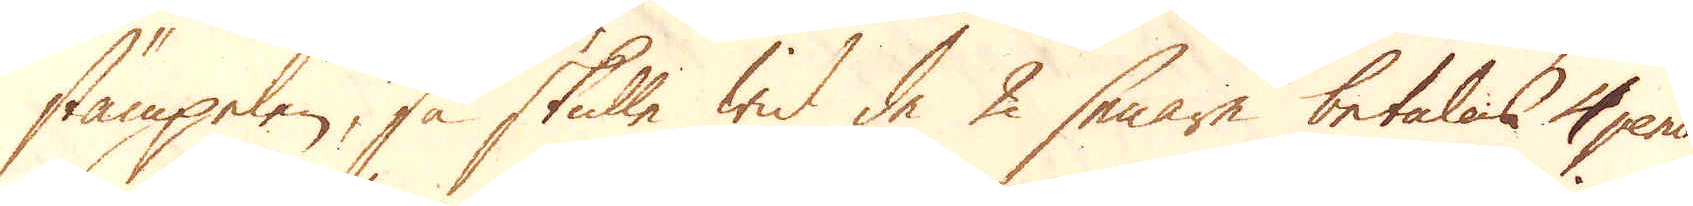stämpelen, så skulle wid de 2 senare betalas 4 pence
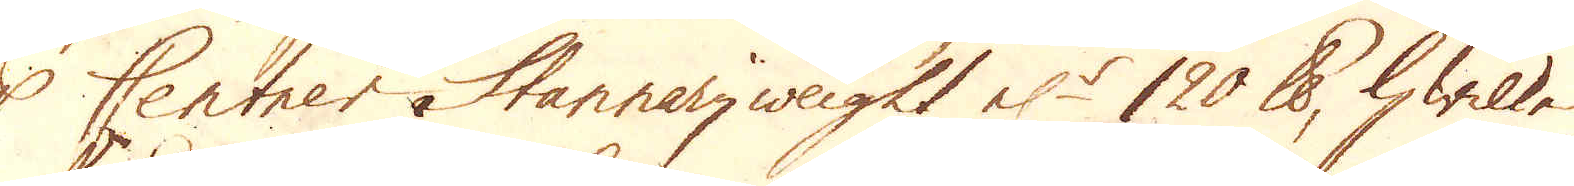p Centner Stannaryweight el:r 120 skålpund, hwilken
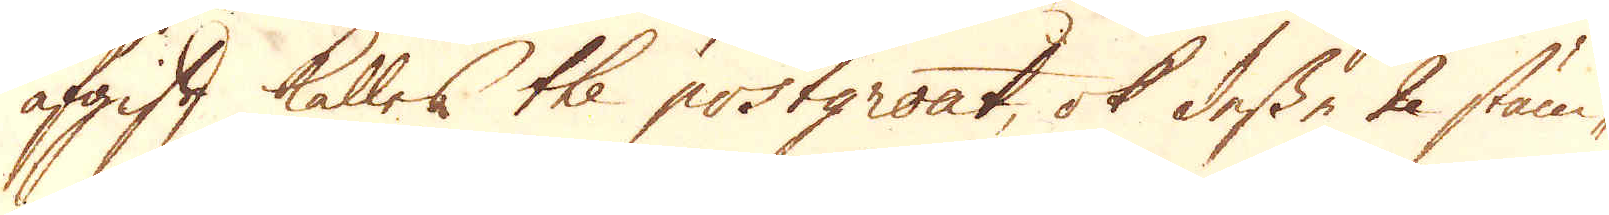afgift kalles the postgroat, ok desse 2 stäm-
